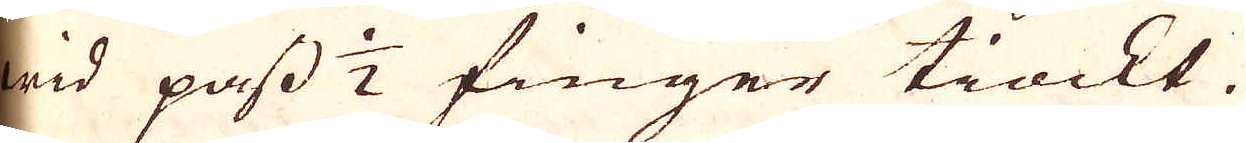wid pass 1/2 finger tiockt.
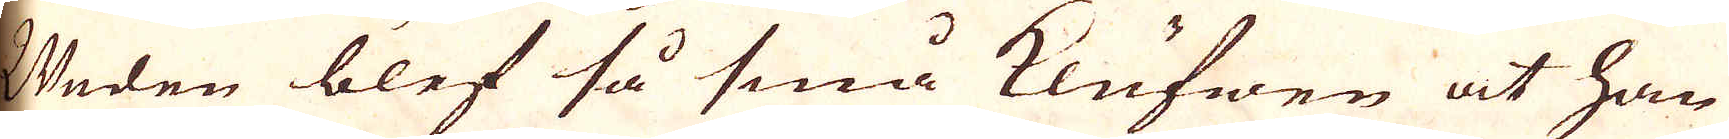Weden blef så små klufwen at han
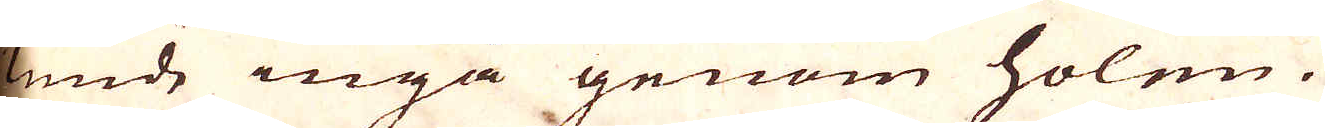kunde ingå genom holen.
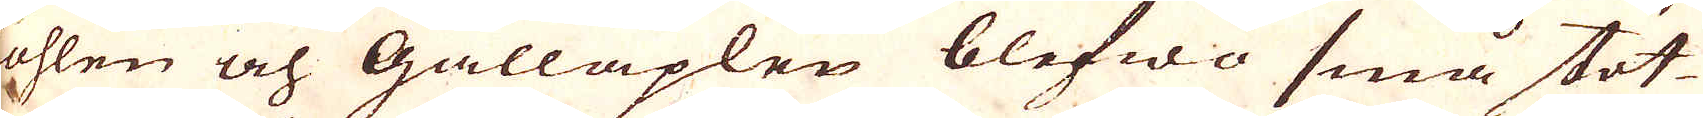Kohlen och Galläplen blefwo små stöt
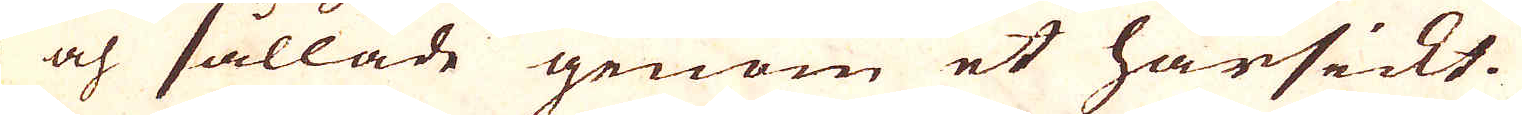och sållade genom et hårsickt.
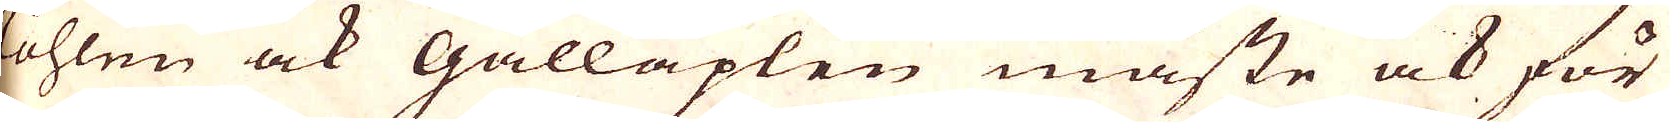Kohlen ock Galläplen måste ock för
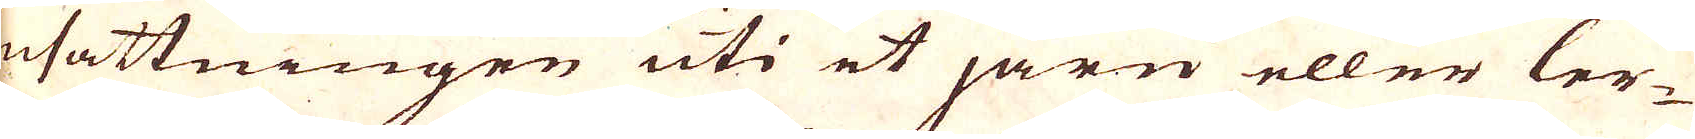insättningen uti et järn eller ler-
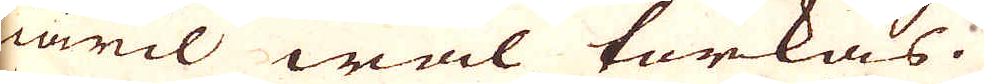kiäril wäl torkas.
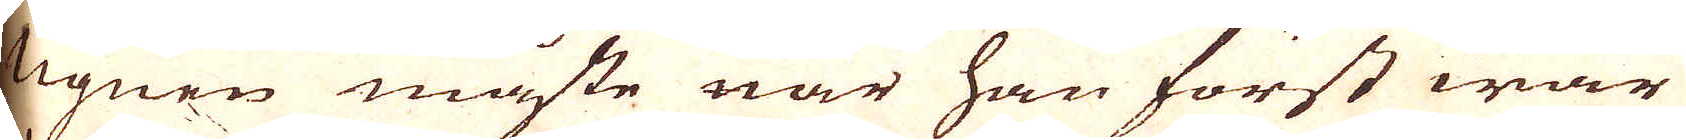Ugnen måste när han först war
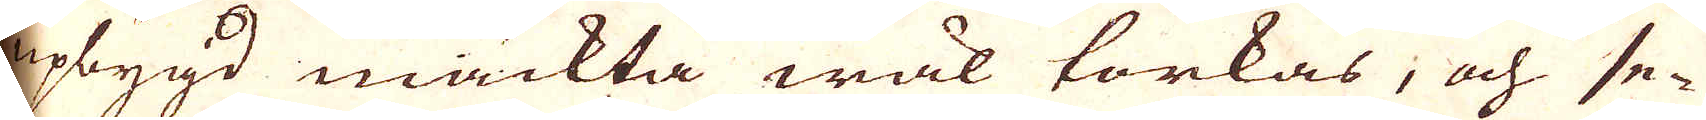upbygd mäckta wäl torkas, och se-
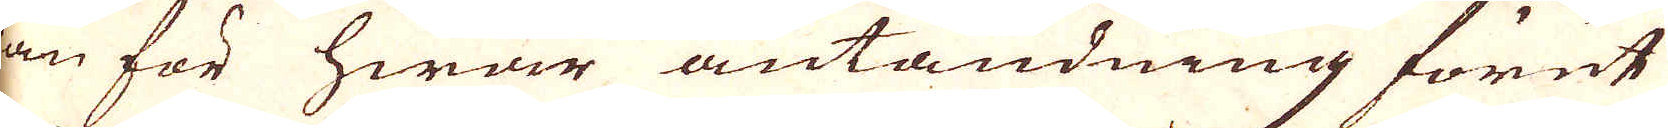dan för hwar antändning förut
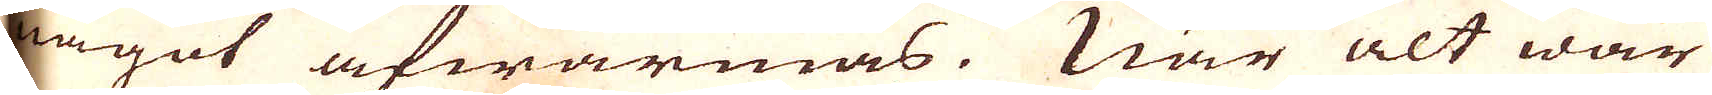något afwärmas. När alt war
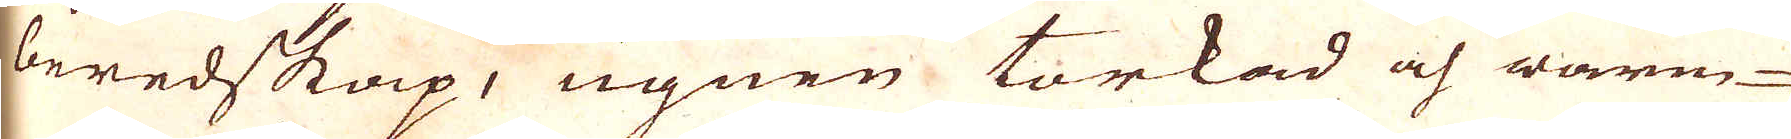beredskap, ugnen torkad och warm-
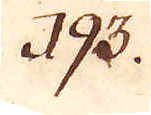193.
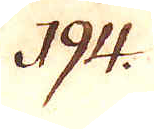194.
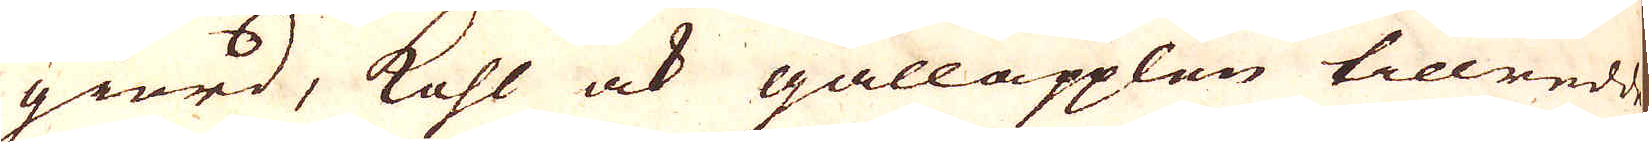giord, kohl ock galläpplen tillredd,
